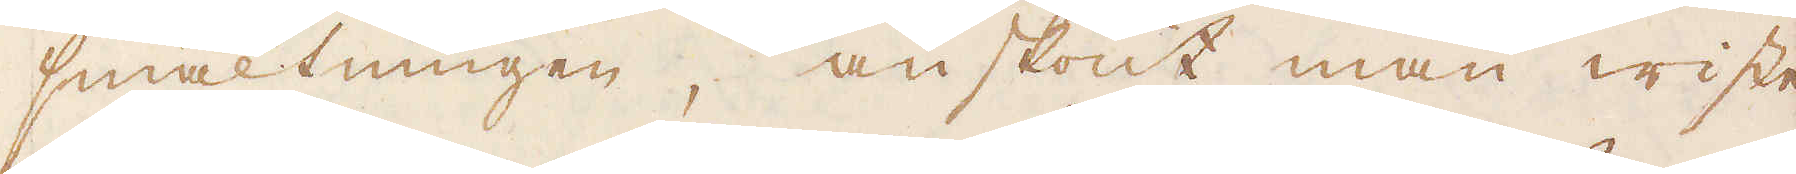smältningen, änskönt man wiste
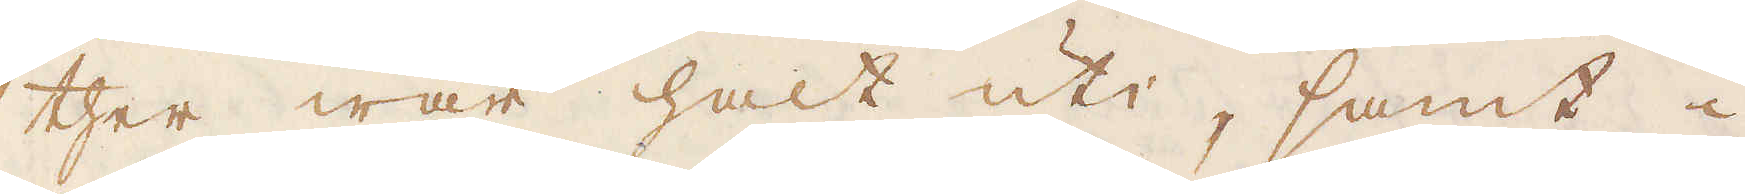ther war halt uti, samt i
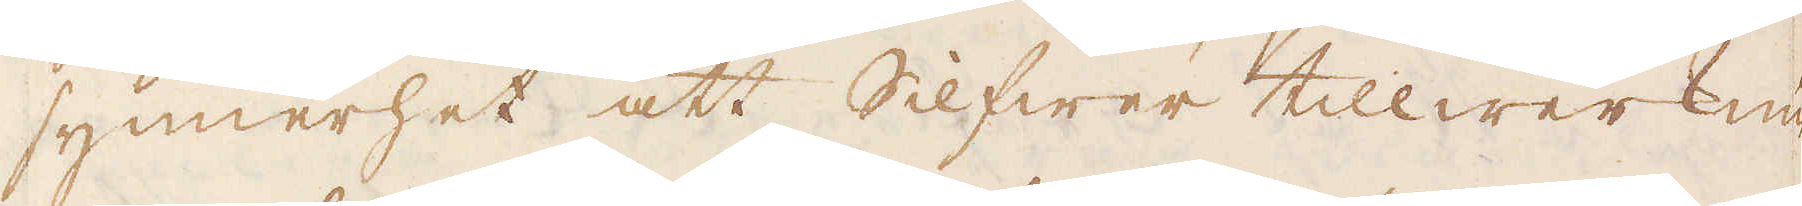synnerhet att Silfwer tillwerknin-
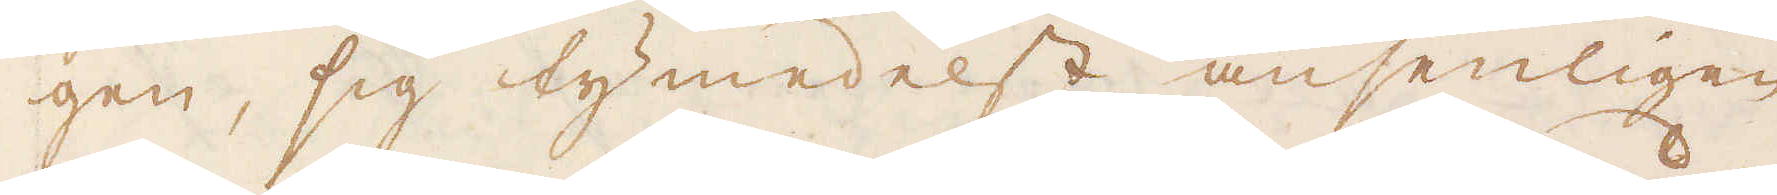gen, sig tymedelst ansenligen
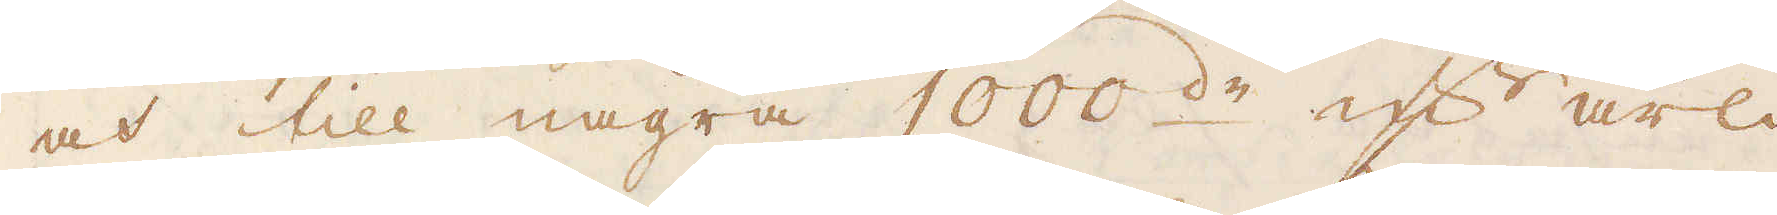och till några 1000de qv:r årli-
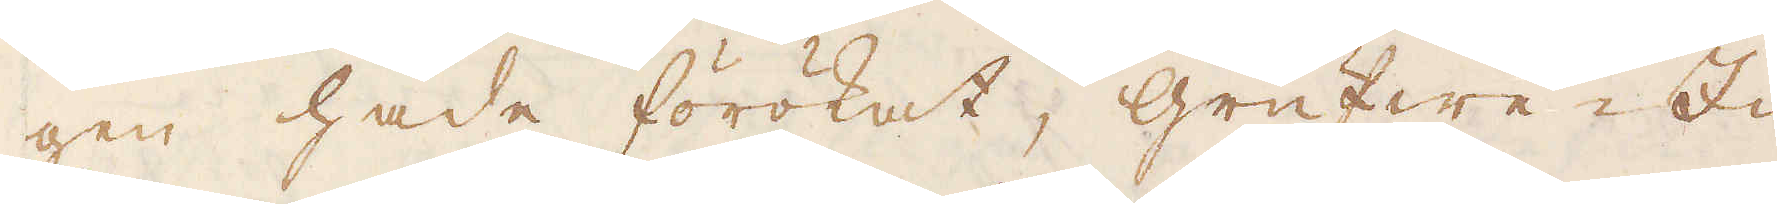gen hade förökat, grufwe Id-
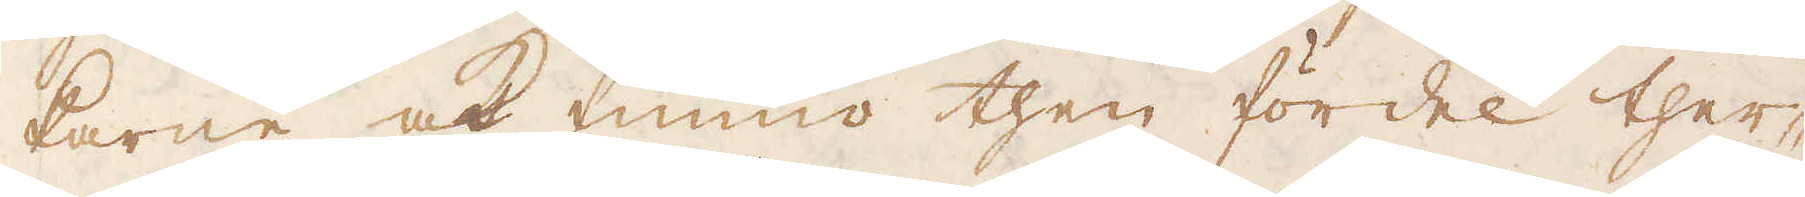karne ock funno then fördel ther-
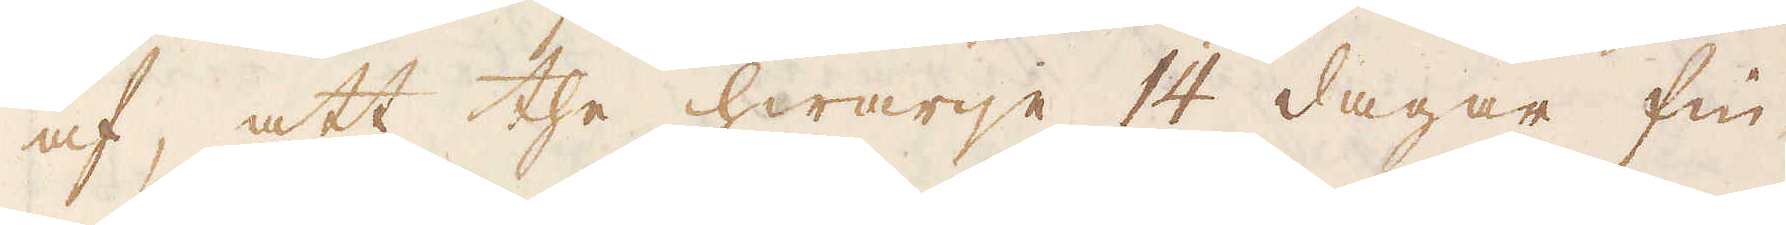af, att the hwarije 14 dagar fin-
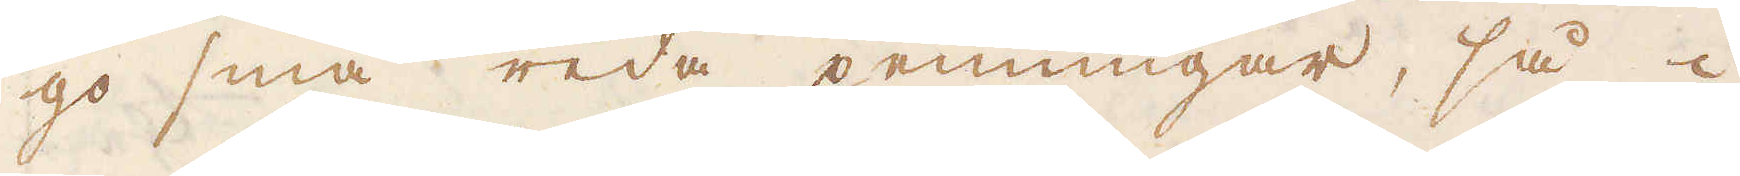go sina reda penningar, så i
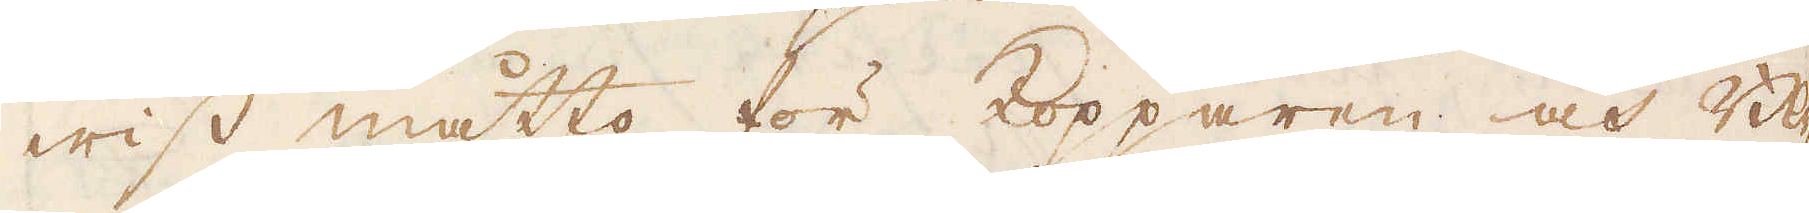wiss måtto för Kopparen och Bly-
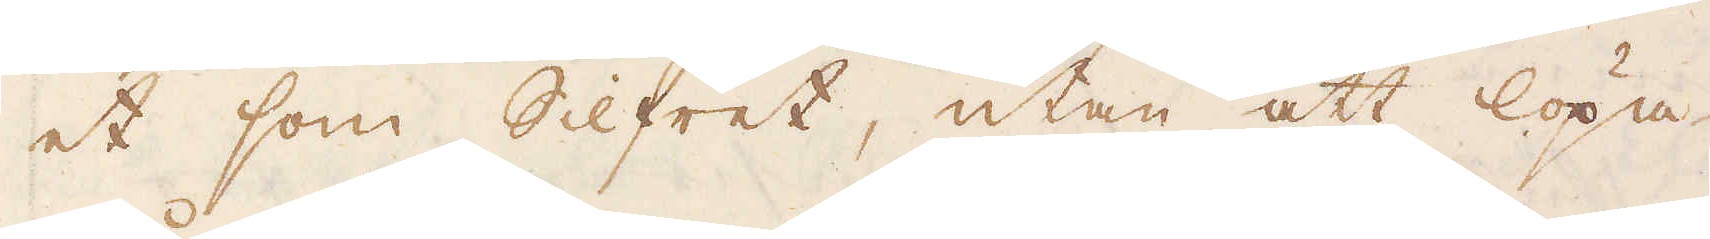et som Silfret, utan att löpa
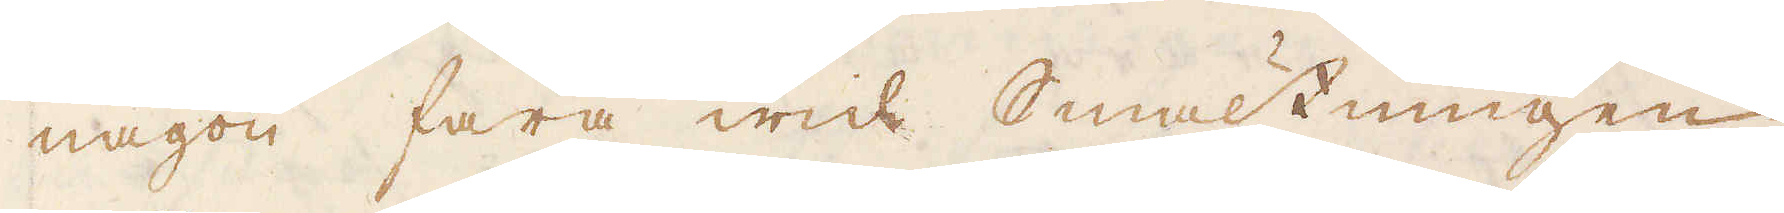någon fara wid Smältningen
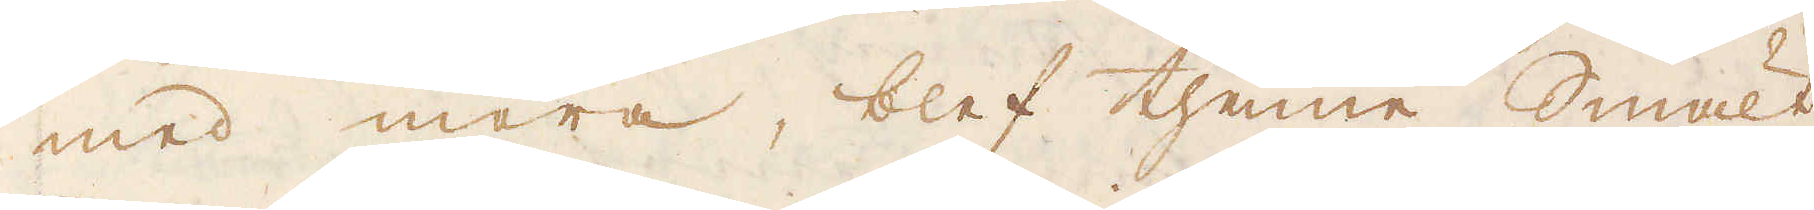med mera, blef thenne Smält
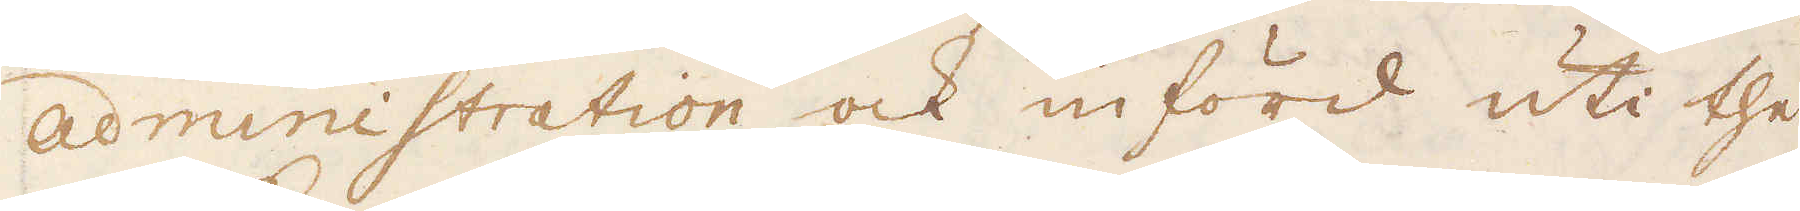Administration ock införd uti the
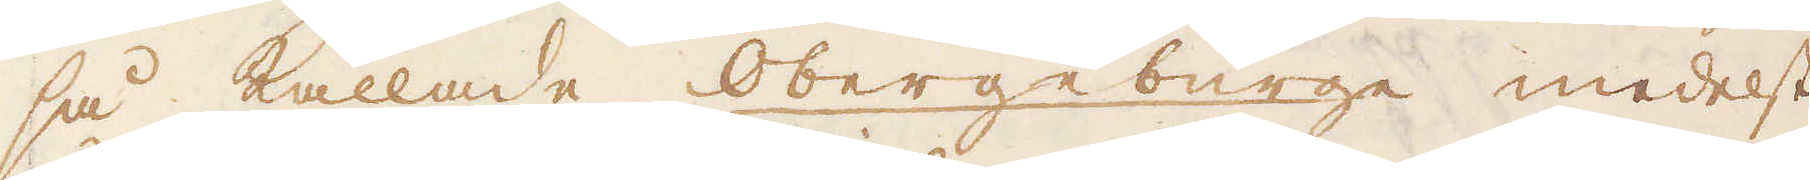så kallade Obergebürge medelst
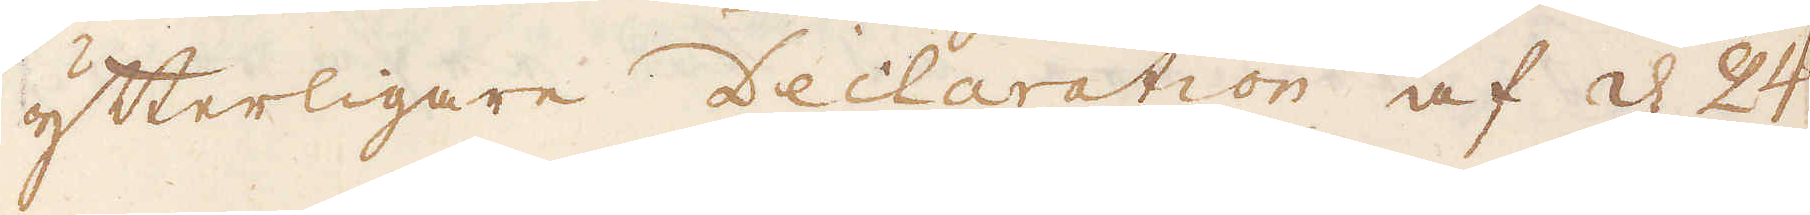yterligare Declaration af d 24
